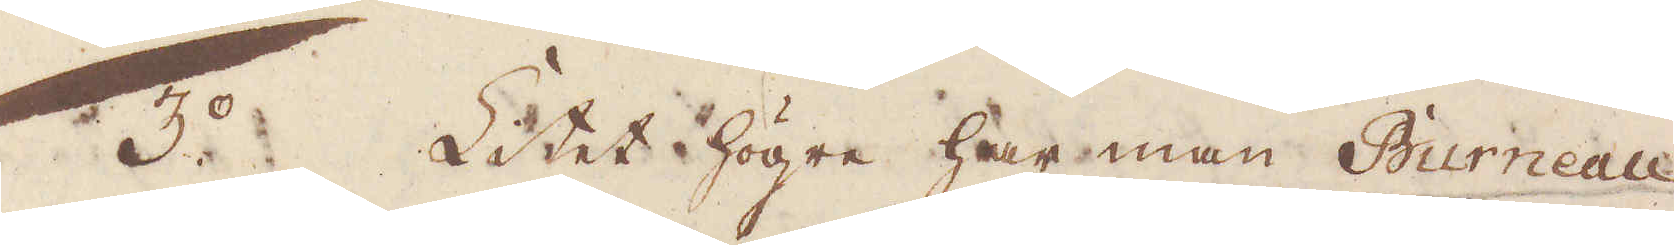3:o Litet högre har man Burneau
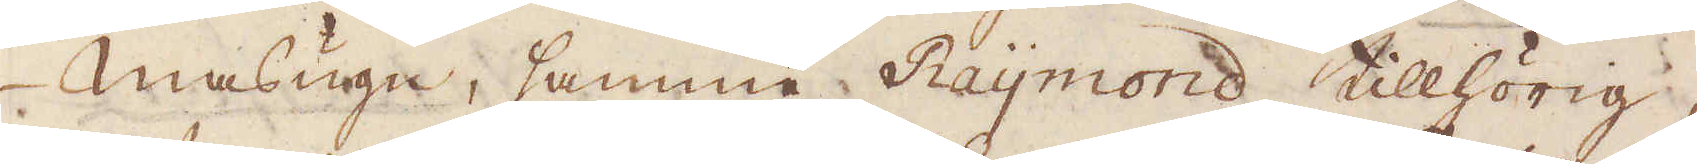masugn, samma Raymond tillhörig,
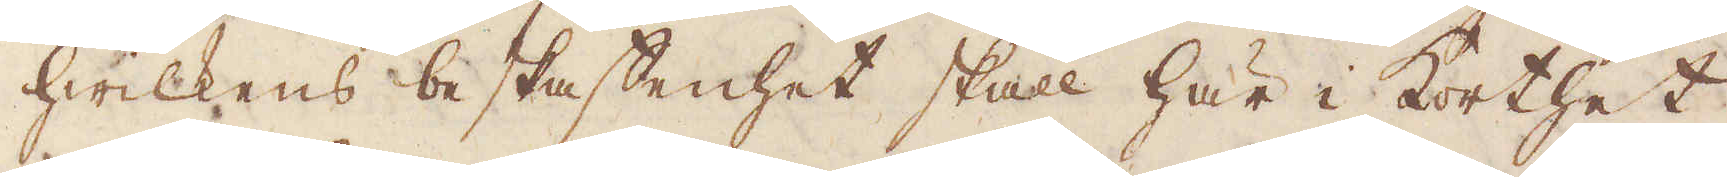hwilkens beskaffenhet skall här i korthet
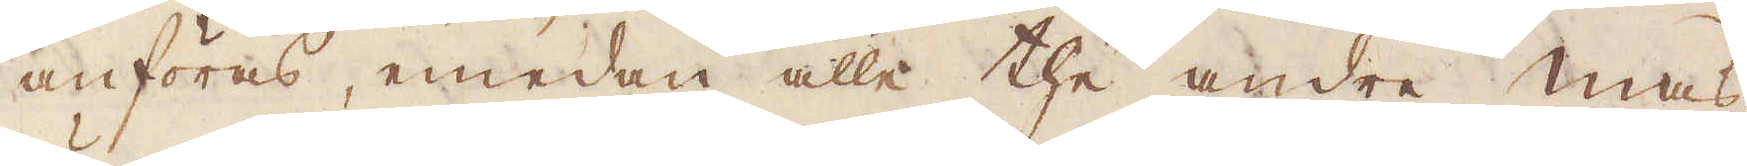anföras, emedan alle the andre mas-
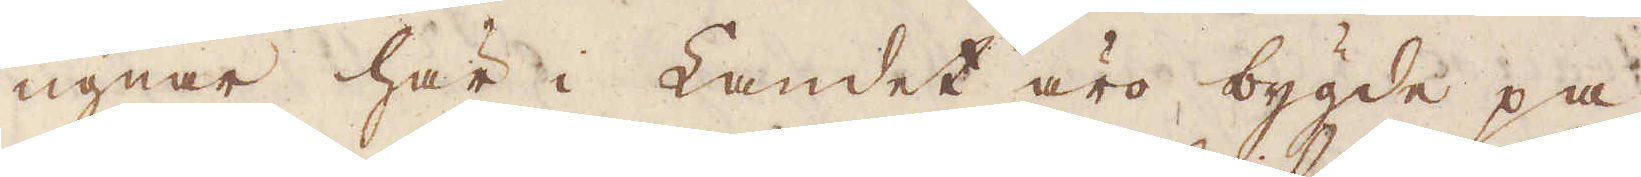ugnar här i Landet äro bygde på
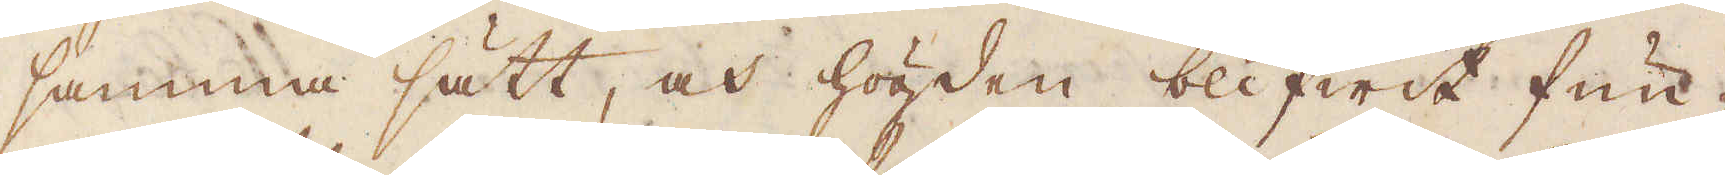samma sätt, och högden blifwit fun-
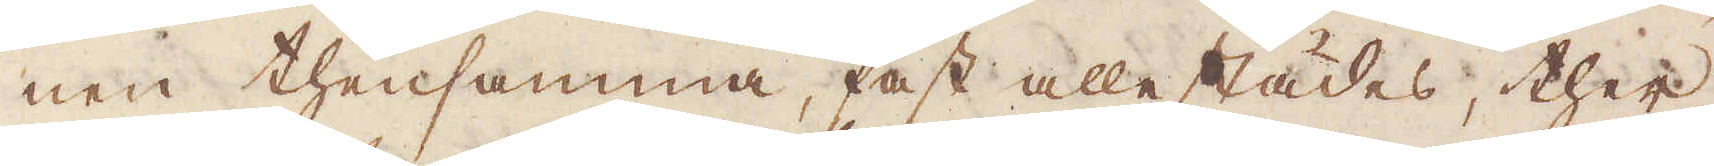nen thensamma, fast allestädes, ther
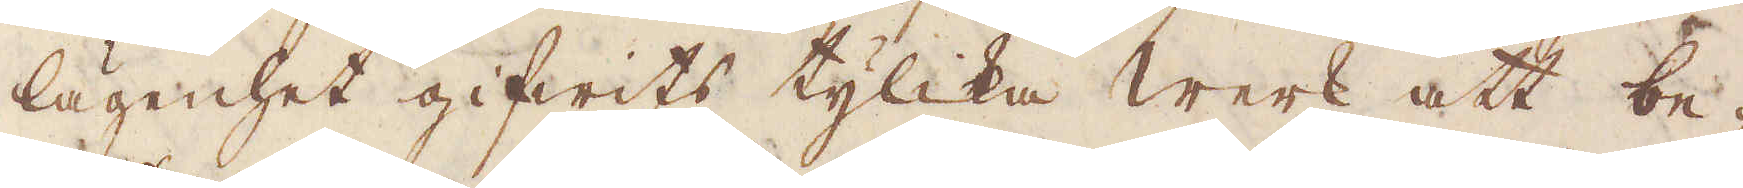lägenhet gifwits tylika Werk att be-
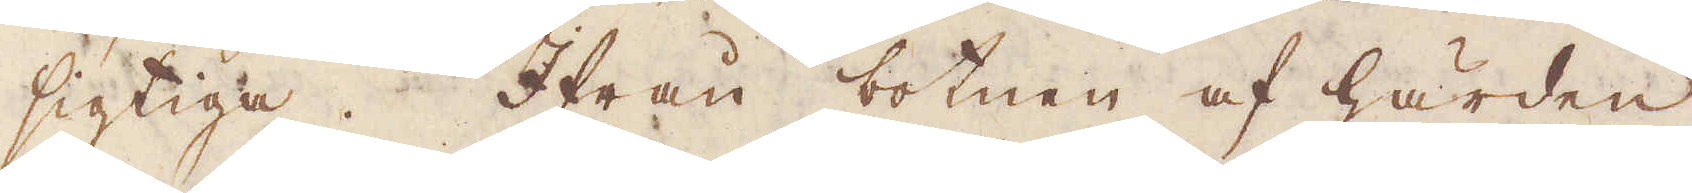sigtiga. Ifrån botnen af härden
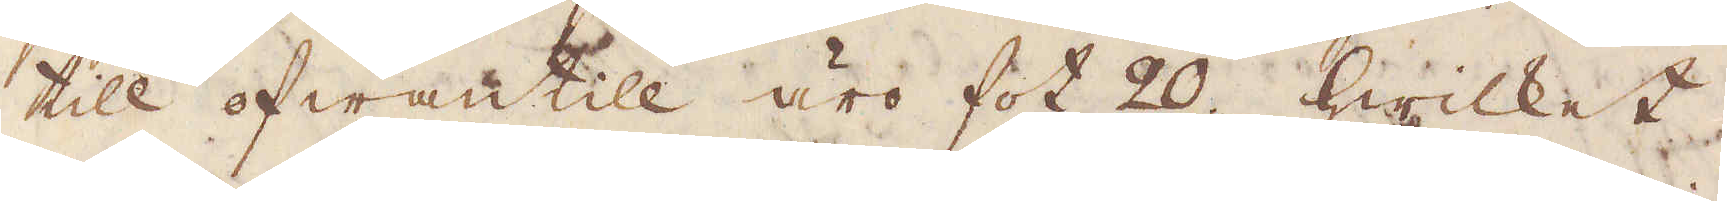till ofwantill äro fot 20; Hwilket
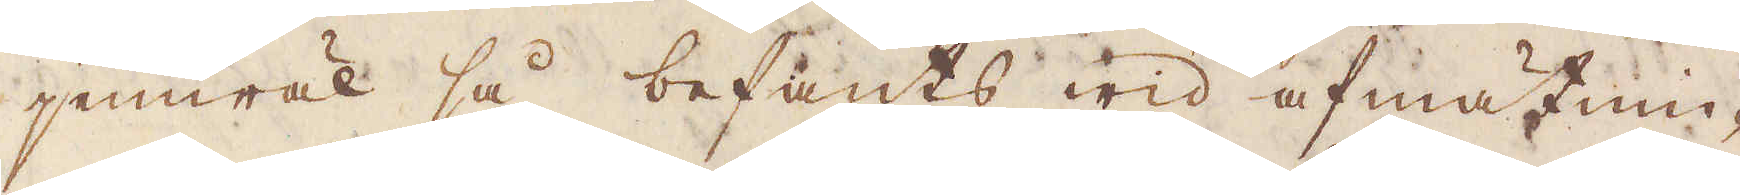jemwäl så befants wid afmätnin-
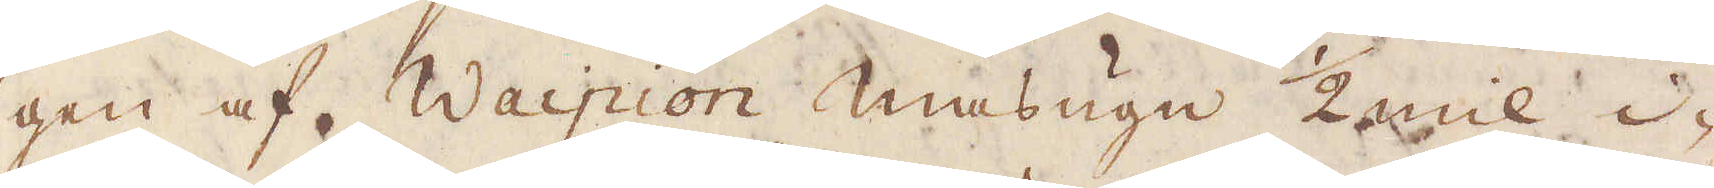gen af Waipion masugn 1/2 mil i-
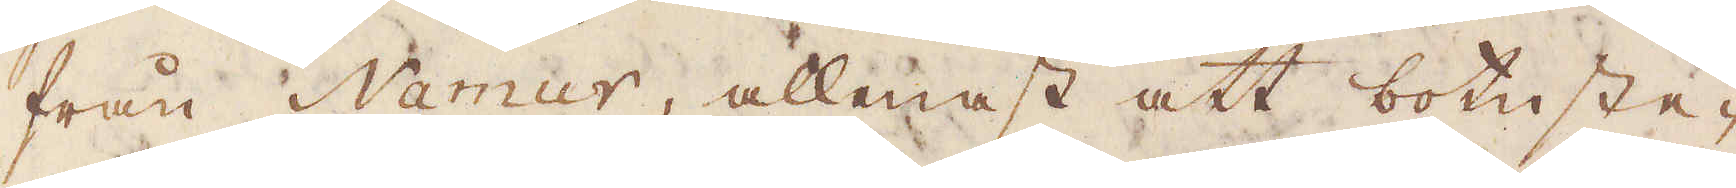från Namur, allenast att botnste-
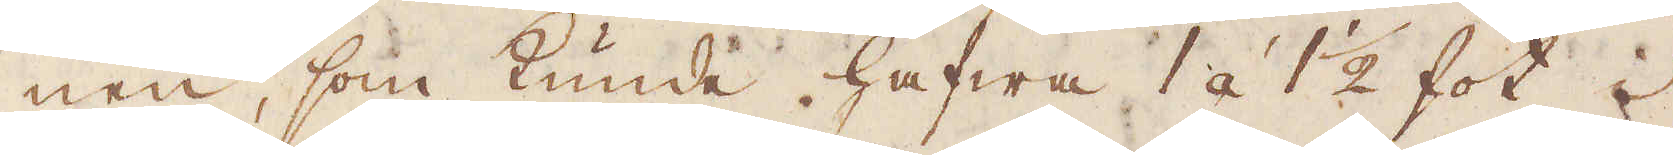nen, som kunde hafwa 1 á 1 1/2 fot i
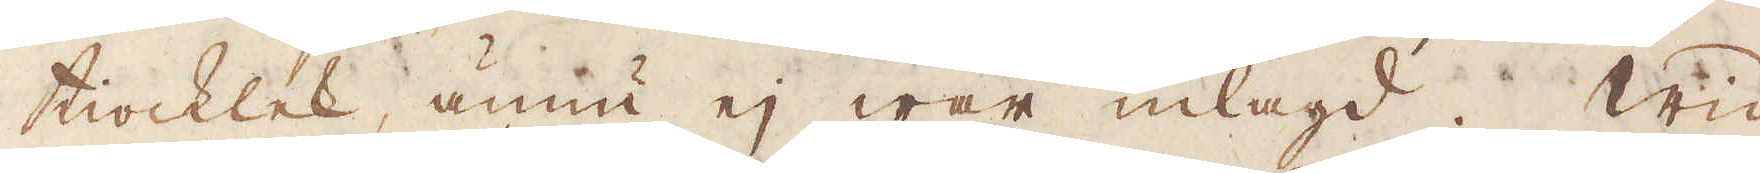tiocklek, ännu ej war inlagd. Wid
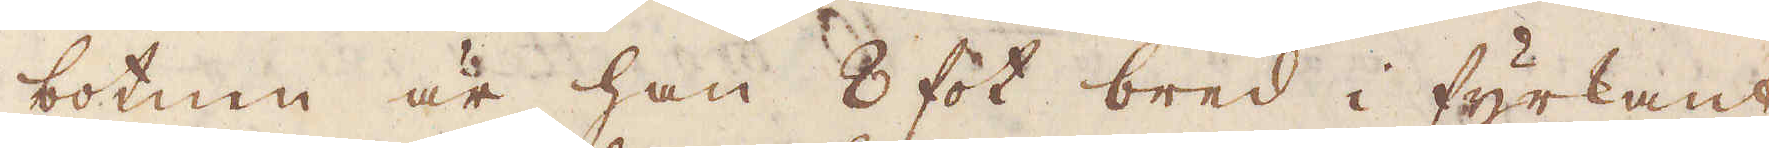botnen är han 8 fot bred i fyrkant,
